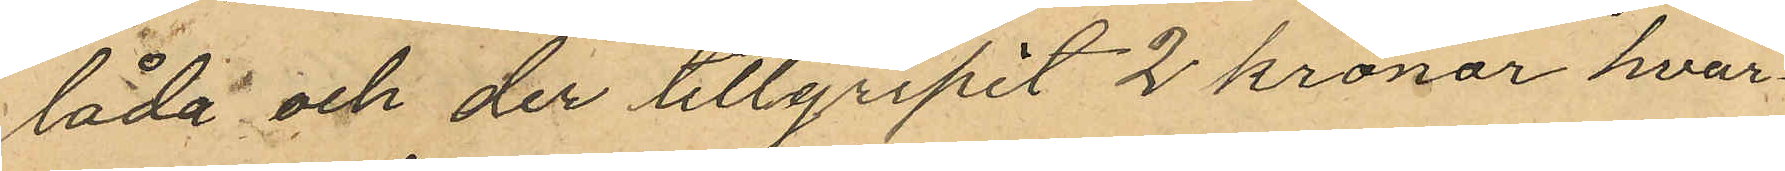låda och der tillgripit 2 kronor hvar¬
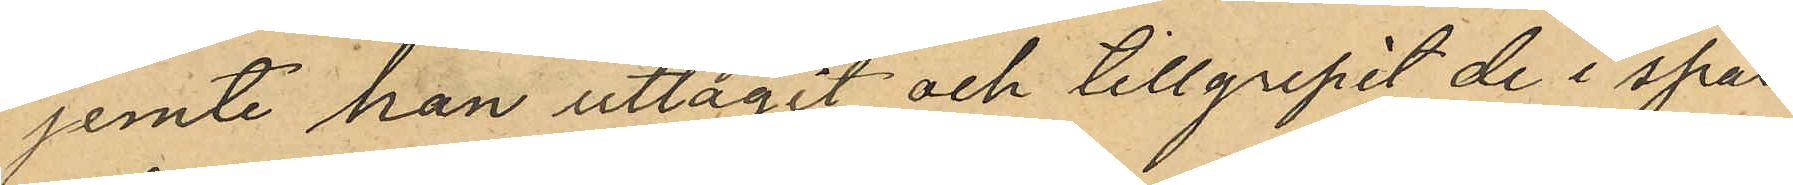jemte han uttagit och tillgripit de i spar¬
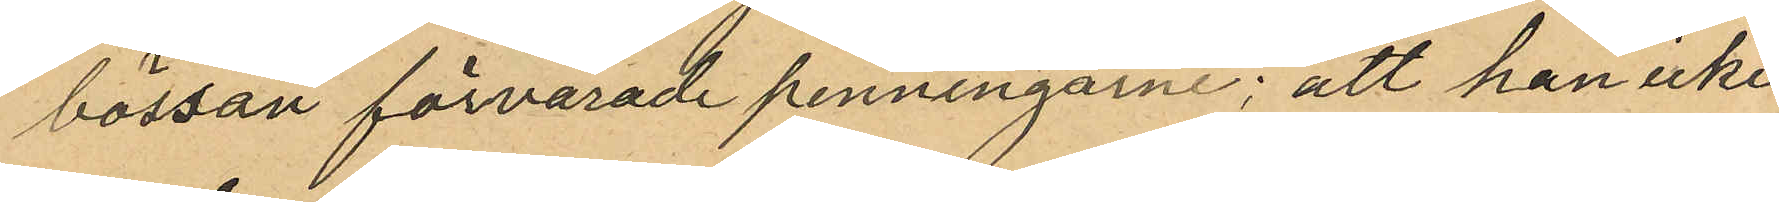bössan förvarade penningarne; att han icke
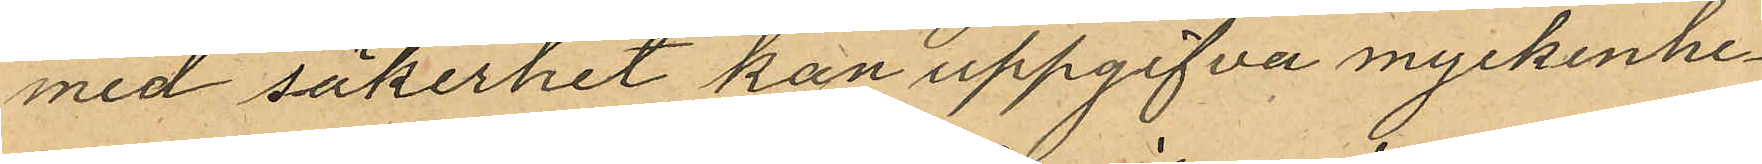med säkerhet kan uppgifva myckenhe¬
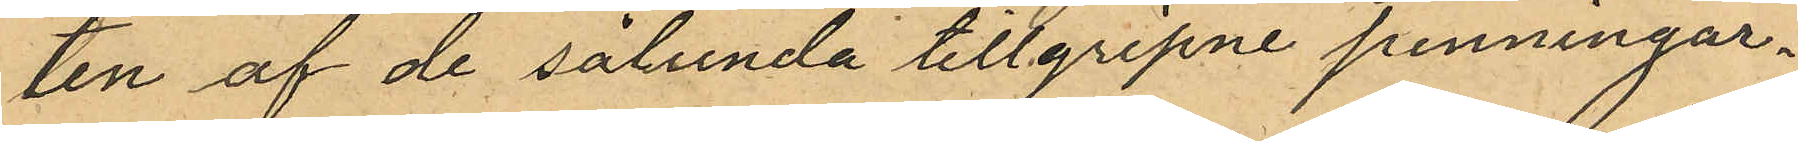ten af de sålunda tillgripne penningar¬
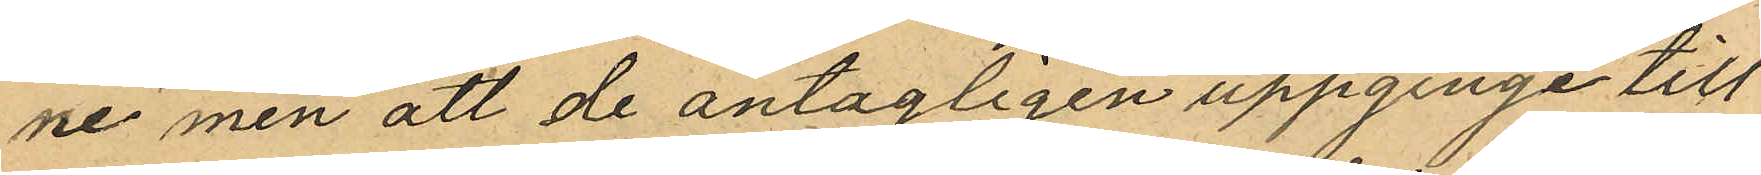ne men att de antagligen uppginge till
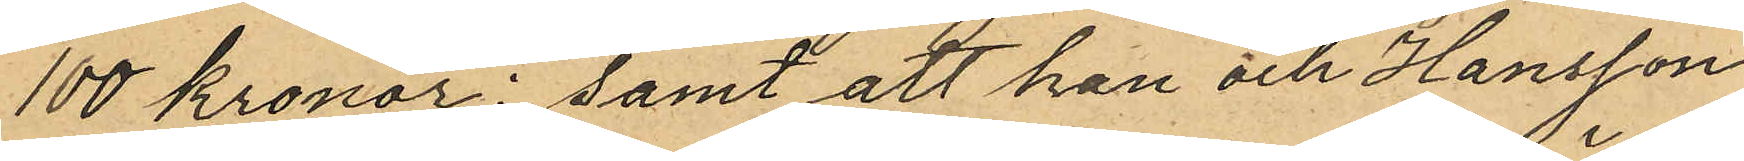100 kronor; samt att han och Hansson
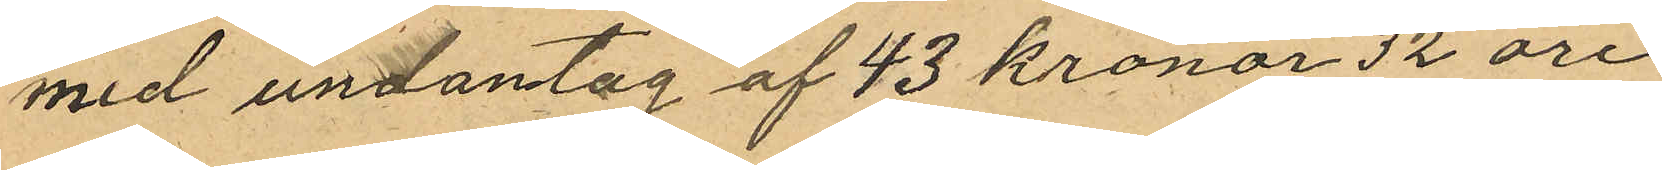med undantag af 43 kronor 32 öre
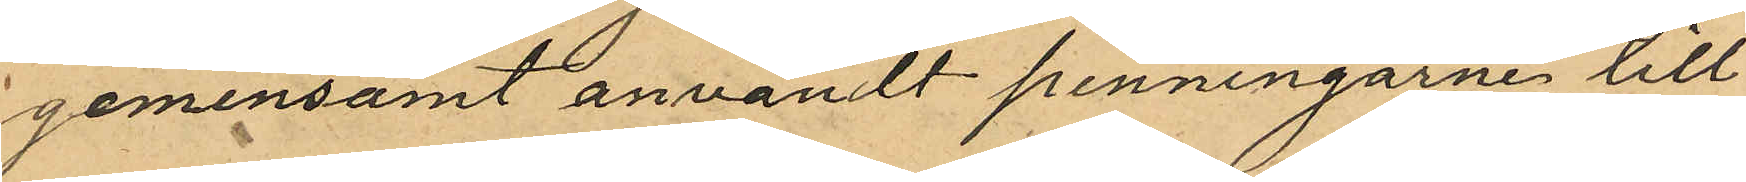gemensamt användt penningarne till
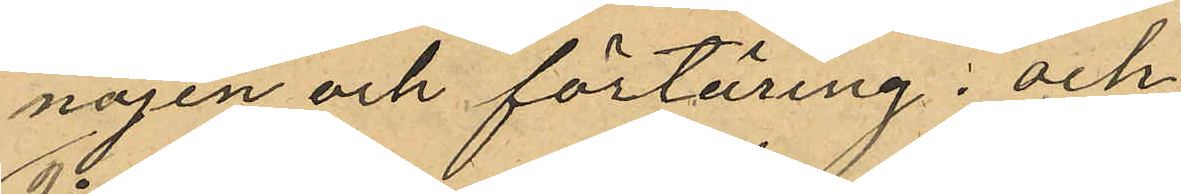nöjen och förtäring; och
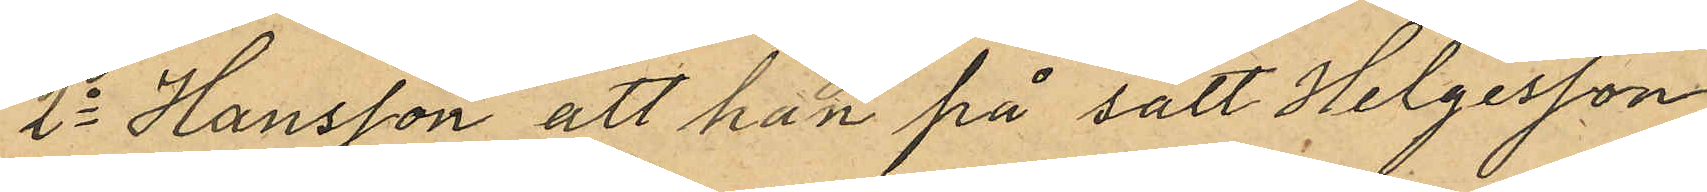2o Hansson att han på sätt Helgesson
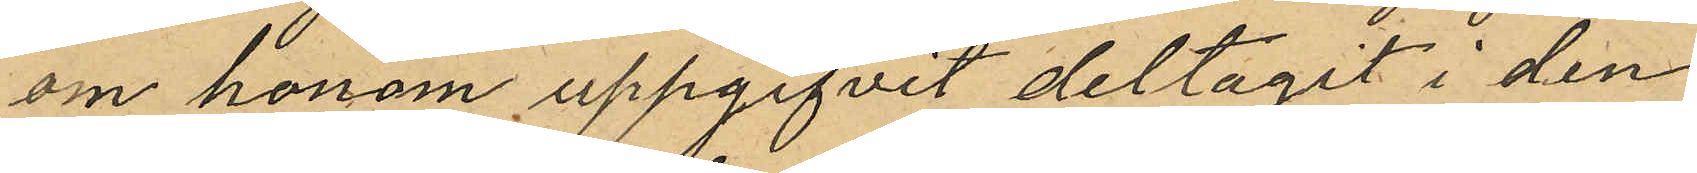om honom uppgifvit deltagit i den
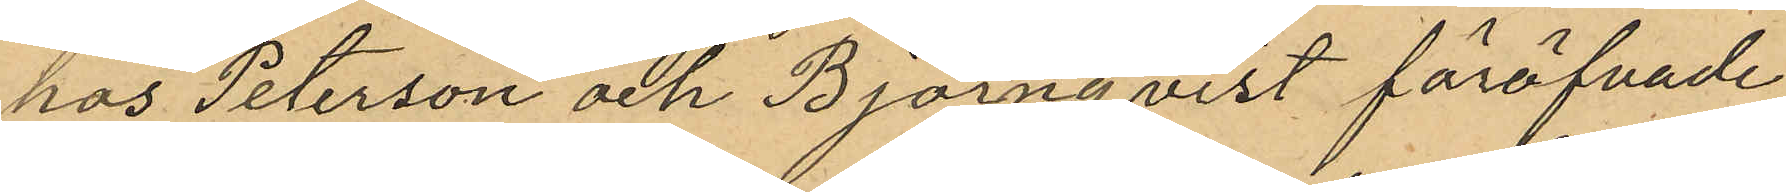hos Peterson och Björnqvist föröfvade
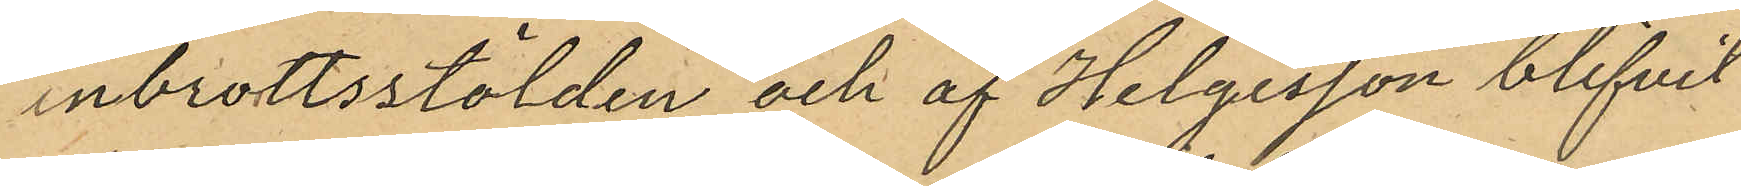inbrottsstölden och af Helgesson blifvit
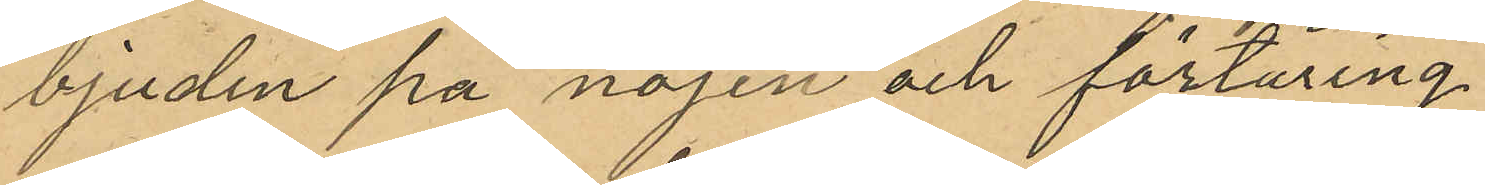bjuden på nöjen och förtäring.
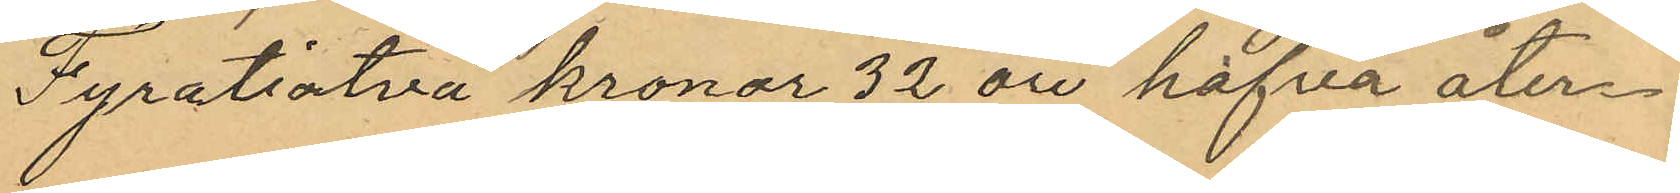Fyratiotvå kronor 32 öre hafva åter¬
